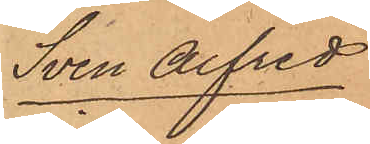Sven Alfred
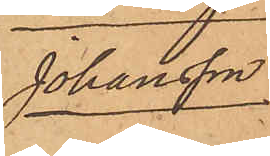Johansson.
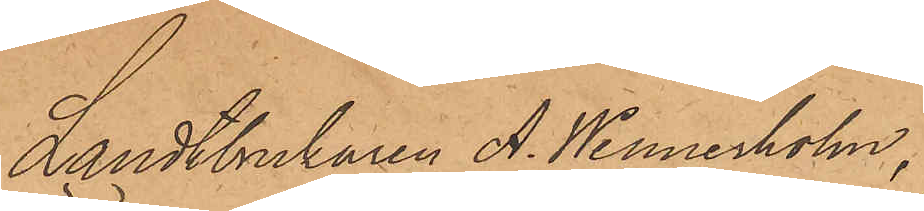Landtbrukaren A. Wennerholm,
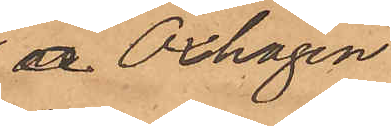å Oxhagen
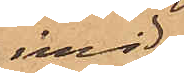invid
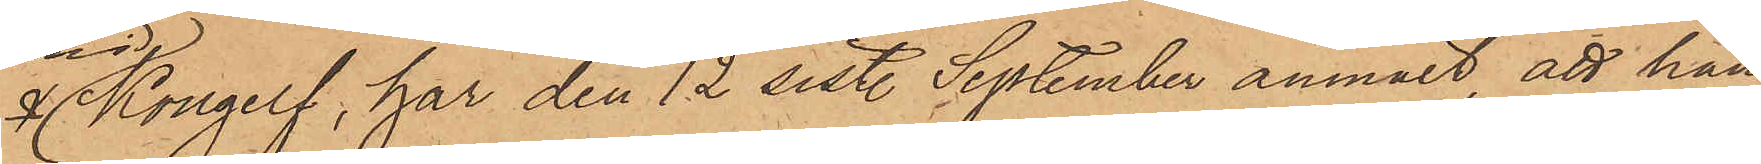 Kongelf, har den 12 sist. September anmält, att han
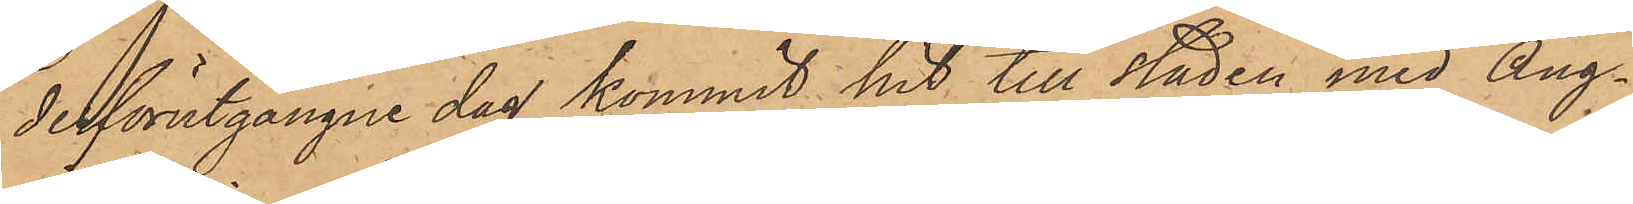derförutgångne dag kommit hit till staden med Ång¬
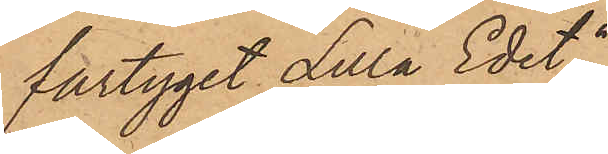fartyget "Lilla Edet",
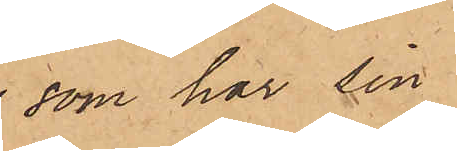som har sin
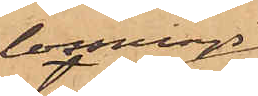lossnings¬
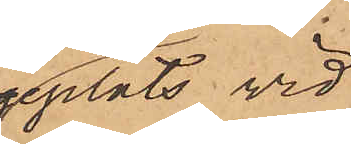plats vid
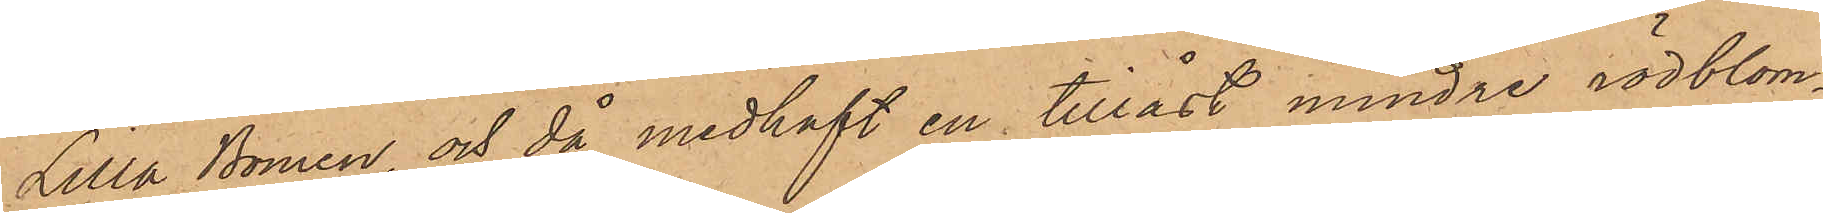Lilla Bommen, och då medhaft en tillåst mindre rödblom¬
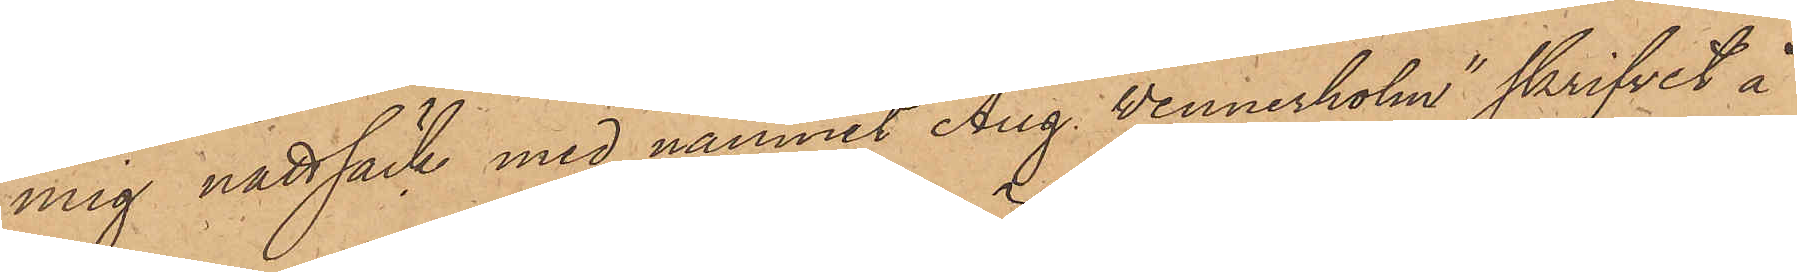mig nattsäck med namnet "Aug. Wennerholm" skrifvet å
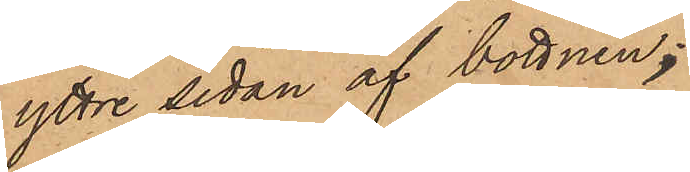yttre sidan af bottnen;
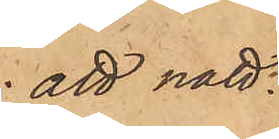att natt¬
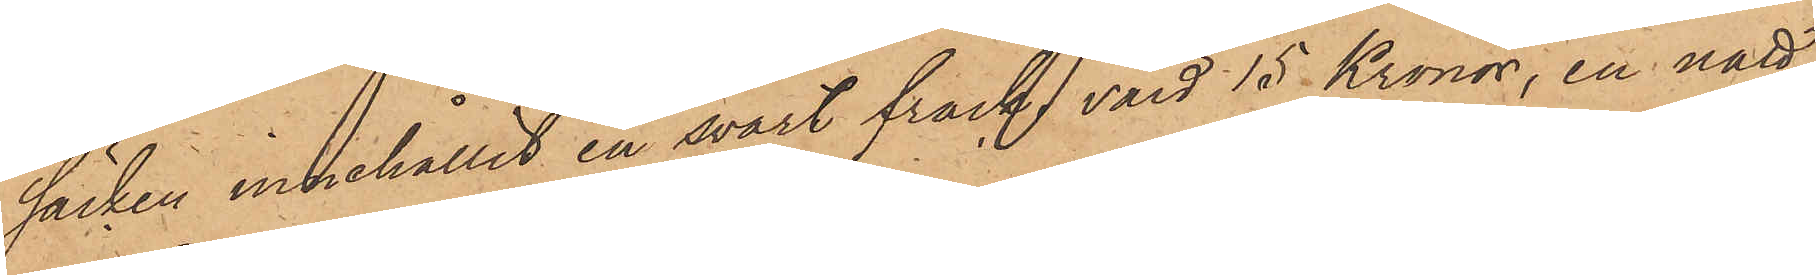säcken innehållit en svart frack, värd 15 Kronor, en natt¬
